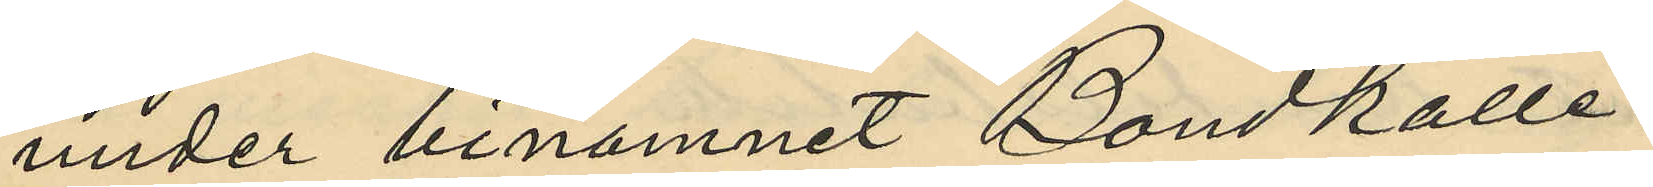under binamnet "Bondkalle"
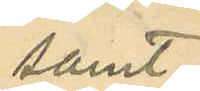samt
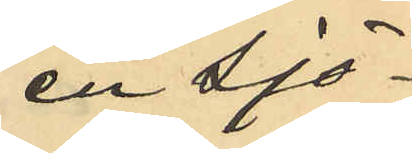en Sjö¬
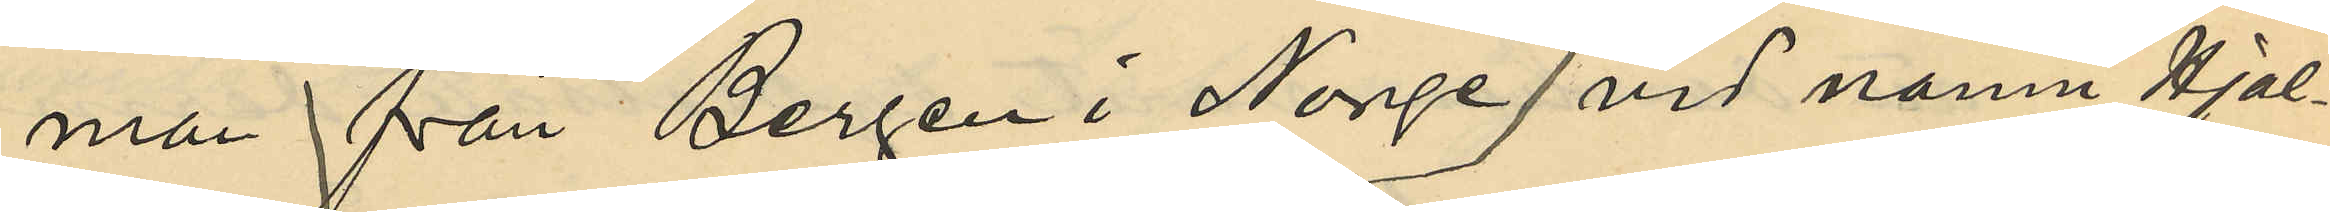man från Bergen i Norge vid namn Hjal¬
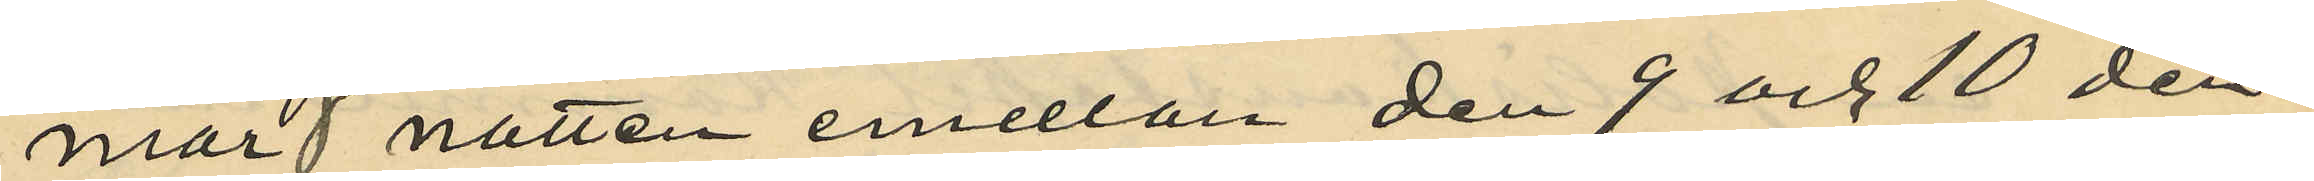mar natten emellan den 9 och 10 den¬
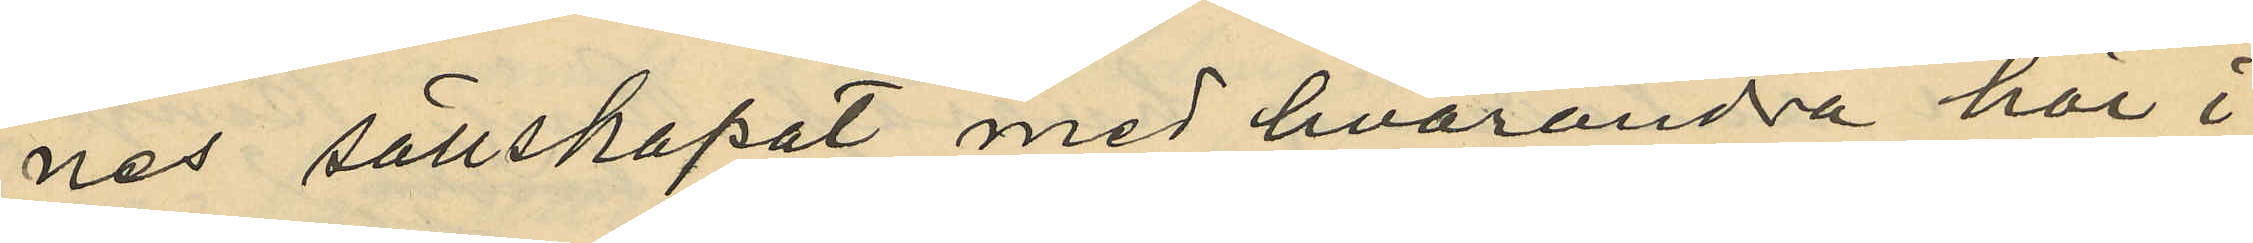nes sällskapat med hvarandra här i
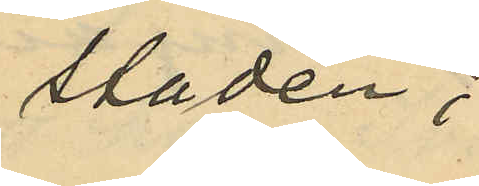staden;
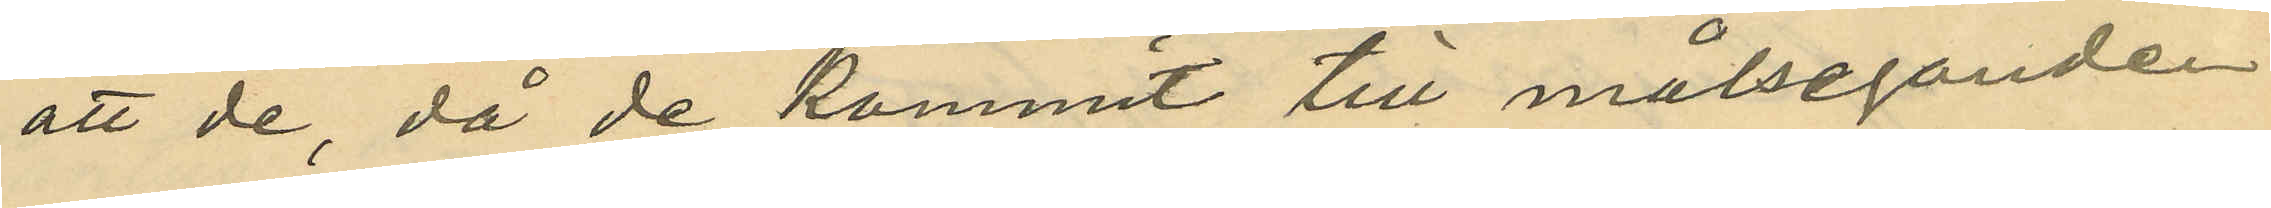att de, då de kommit till målseganden
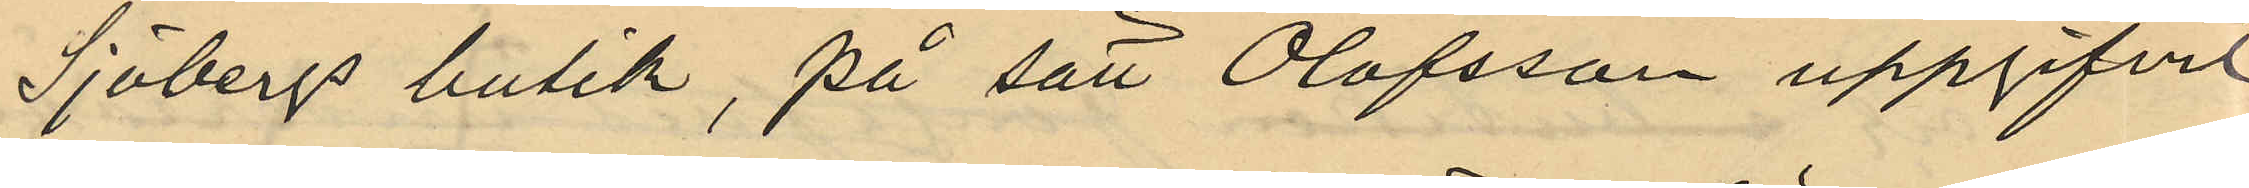Sjöbergs butik, på sätt Olofsson uppgifvit
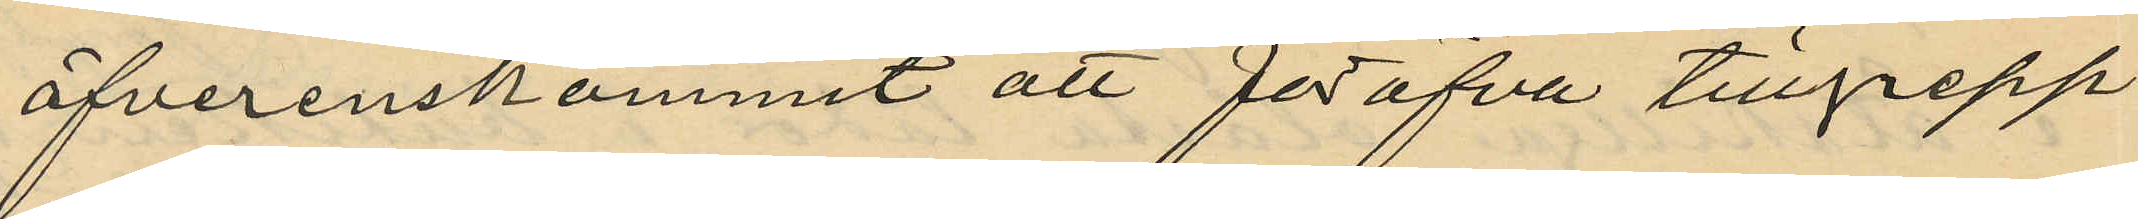öfverenskommit att föröfva tillgrepp
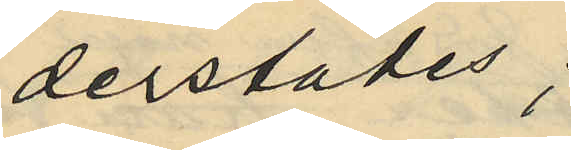derstädes;
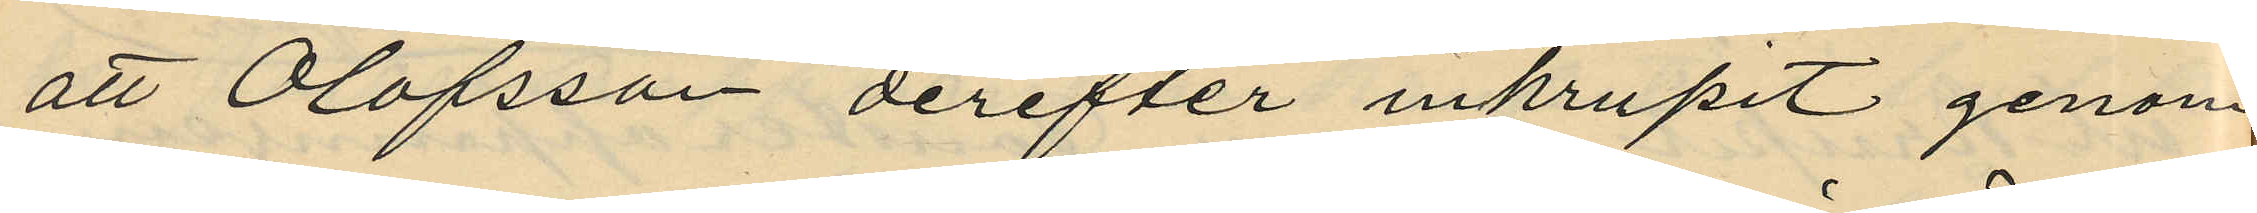att Olofsson derefter inkrupit genom
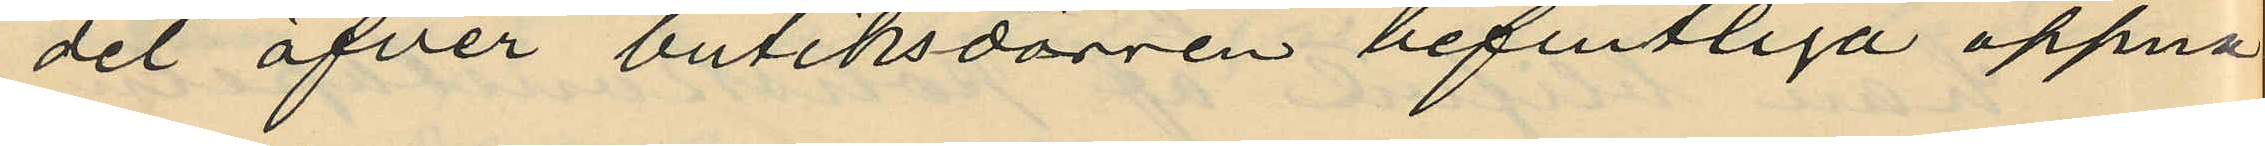det öfver butiksdörren befintliga öppna
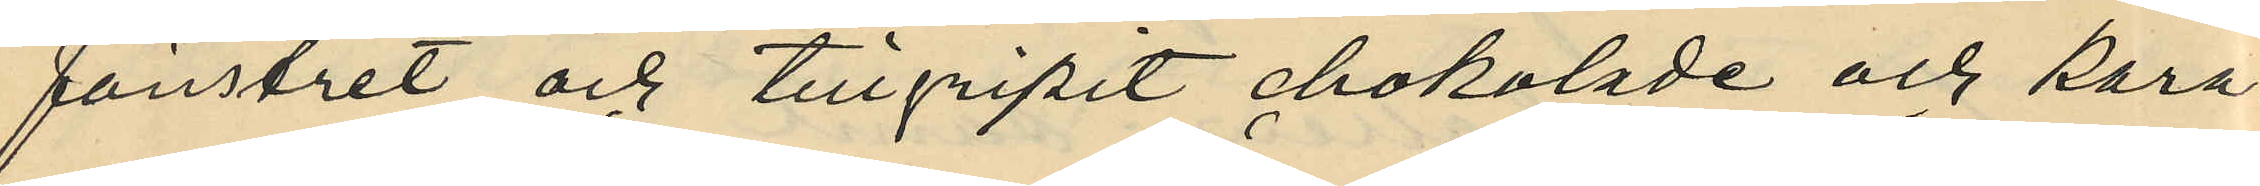fönstret och tillgripit chokolade och kara¬
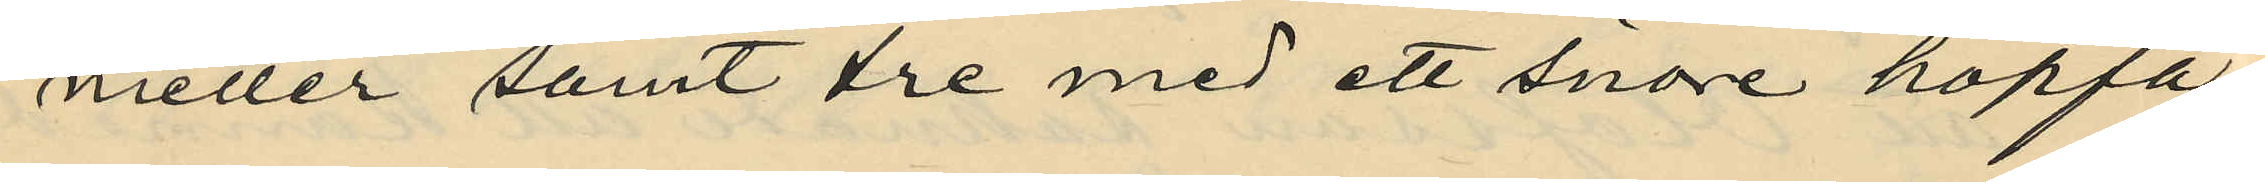meller samt tre med ett snöre ihopflä¬
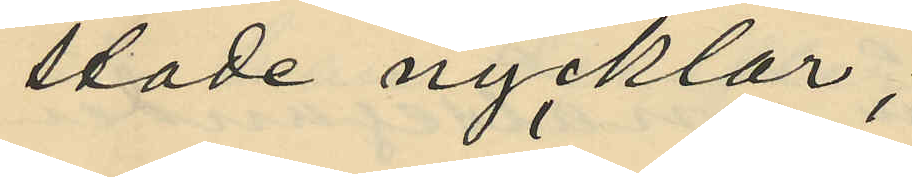tade nycklar;
